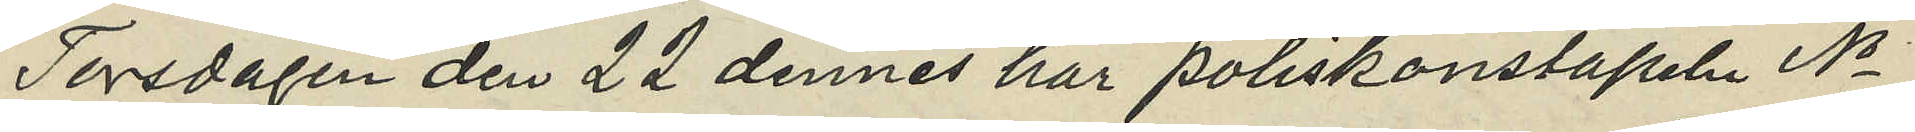Torsdagen den 22 dennes har Poliskonstapeln No
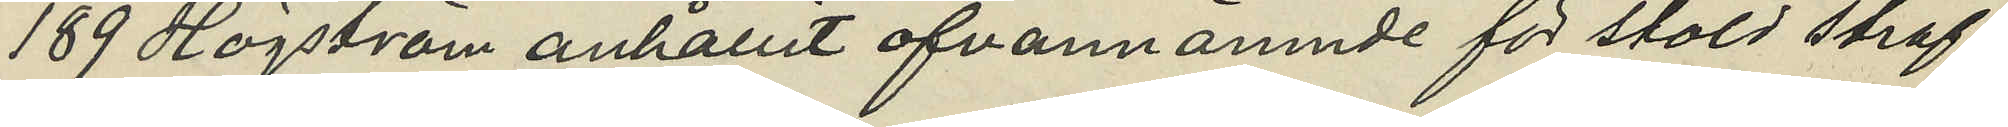189 Högström anhållit ofvannämnde för stöld straf¬
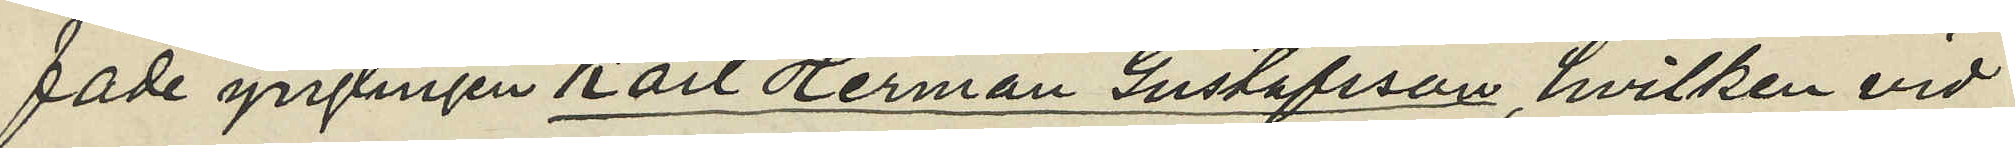fade ynglingen Karl Herman Gustafsson, hvilken vid
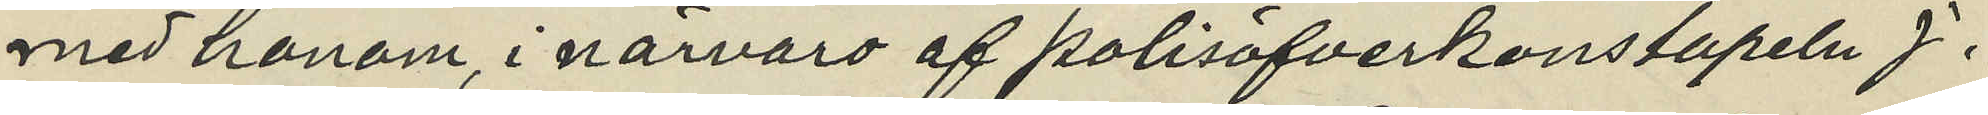med honom, i närvaro af polisöfverkonstapeln J.
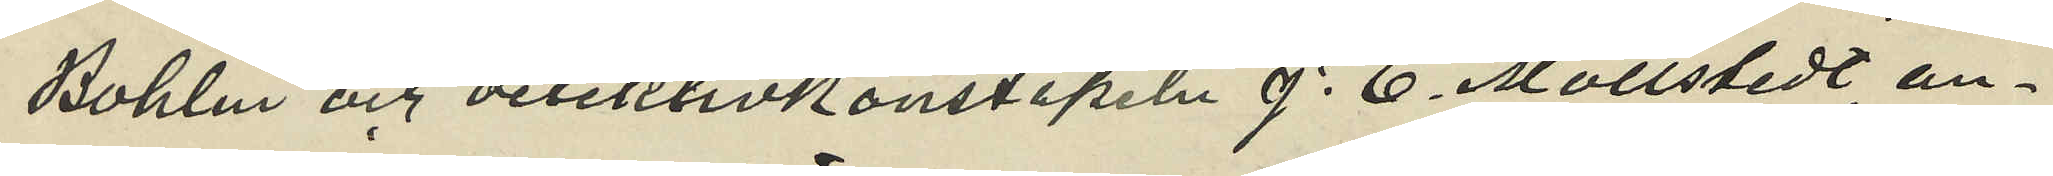Bohlin och detektivkonstapeln J. E. Mollstedt an¬
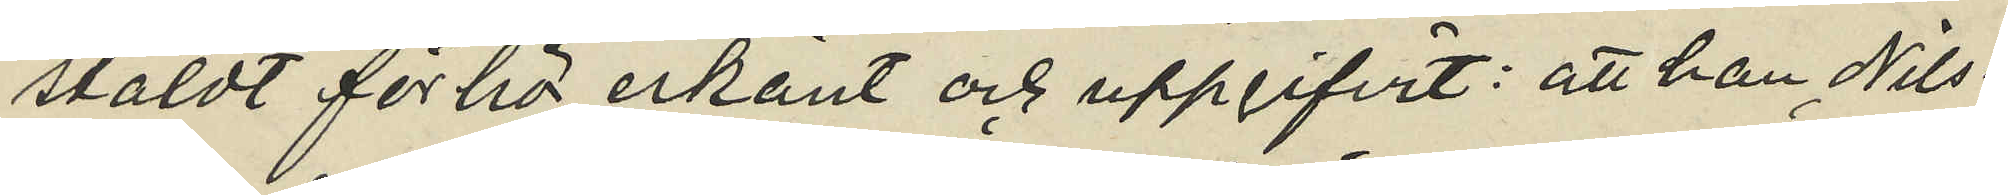stäldt förhör erkänt och uppgifvit: att han Nils¬
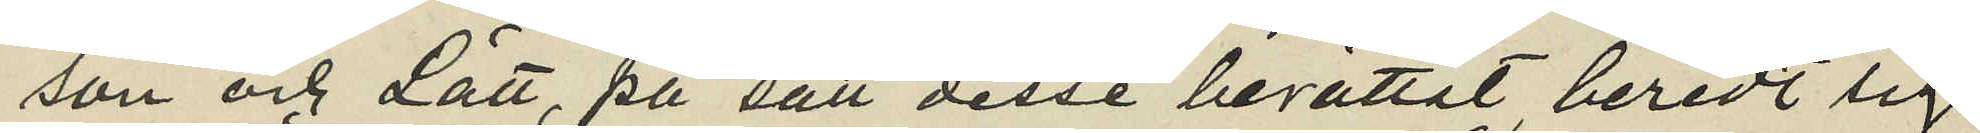son och Lätt, på sätt desse berättat beredt sig
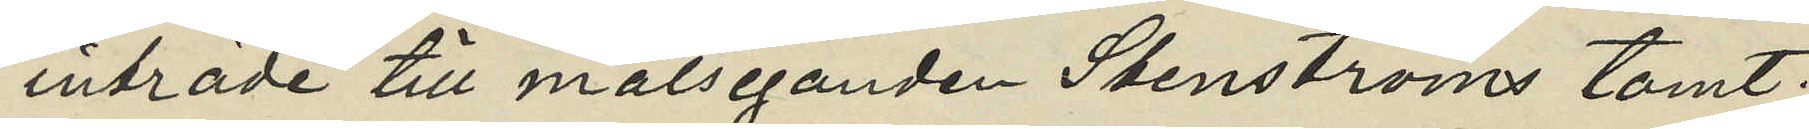inträde till målseganden Stenströms tomt;
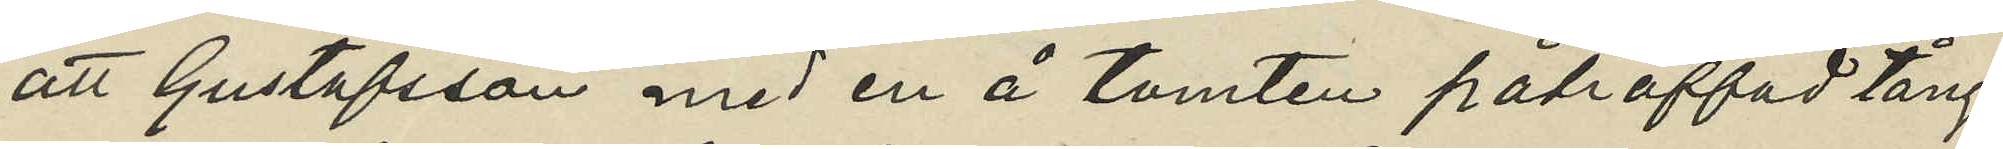att Gustafsson med en å tomten påträffad tång
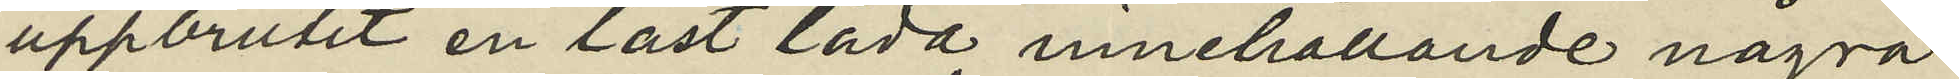uppbrutit en låst låda innehållande några
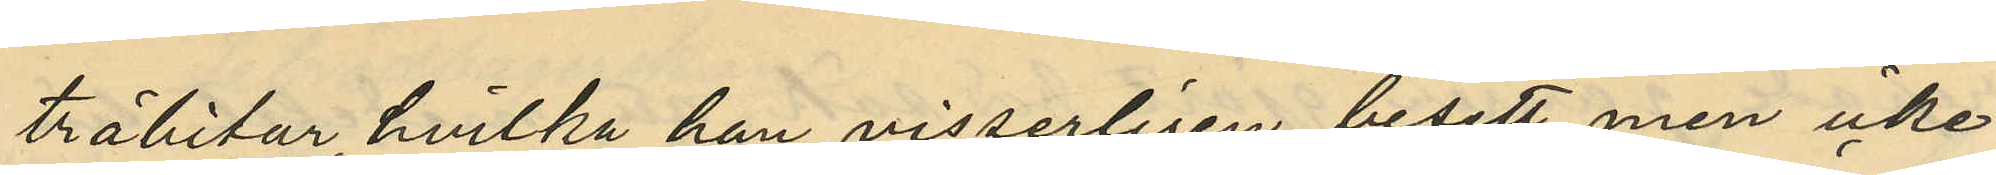träbitar, hvilka han visserligen besett men icke
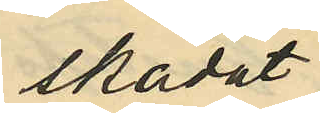skadat;
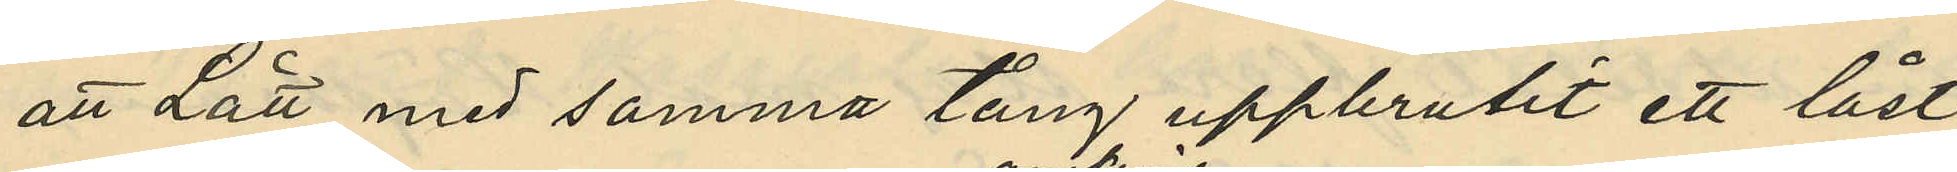att Lätt med samma tång uppbrutit ett låst
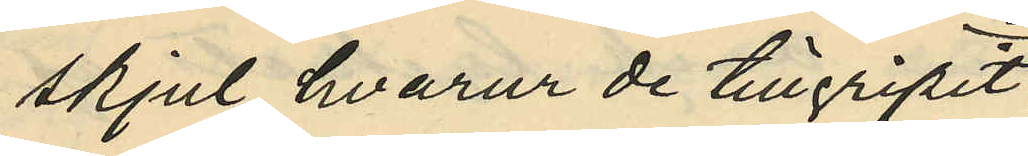skjul, hvarur de tillgripit
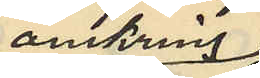omkring
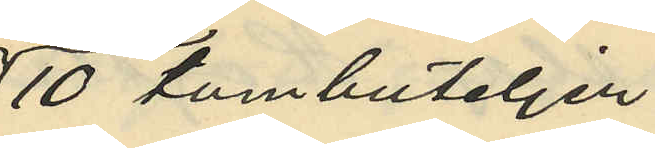10 tombuteljer;
